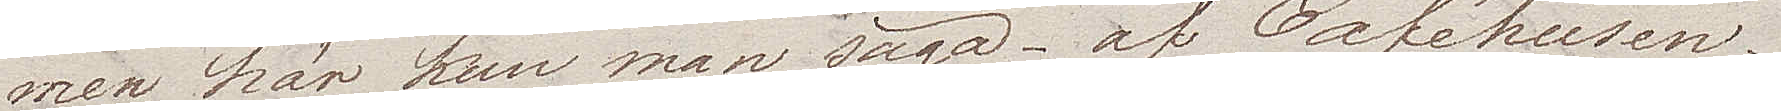men här kan man säga – af Caféhusen.
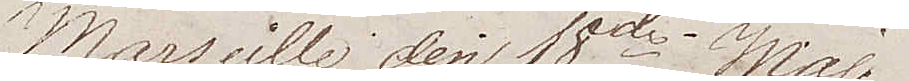Marseille den 18de Maj.
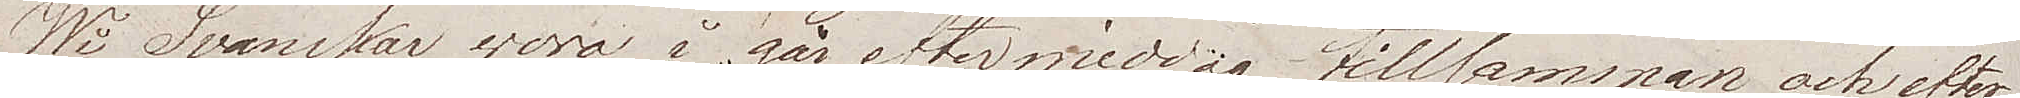Wi Svänskar woro i går eftermiddag tillsammans och efter
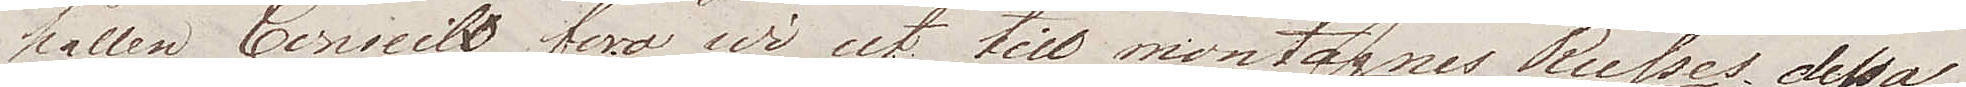hållen Conseille foro wi ut till montagnes Russes, dessa
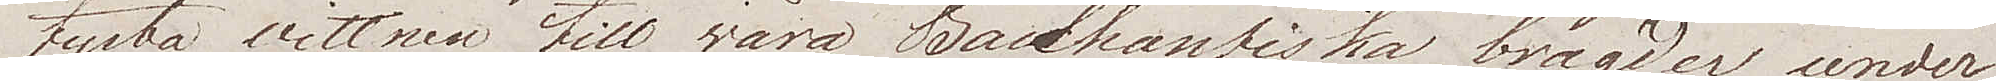tysta vittnen till wåra Bacchantiska bragder, under
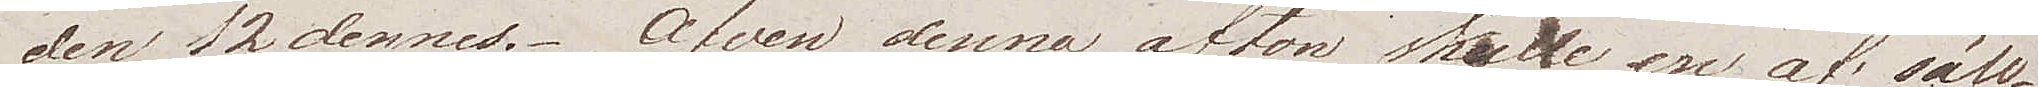den 12 dennes. Äfven denna afton skulle en af säll¬
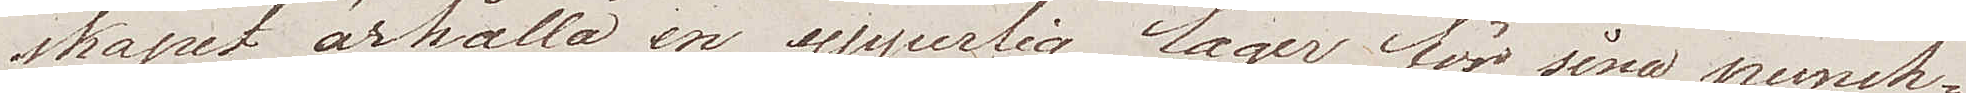skapet ärhålla en ypperlig lager för sina punch¬
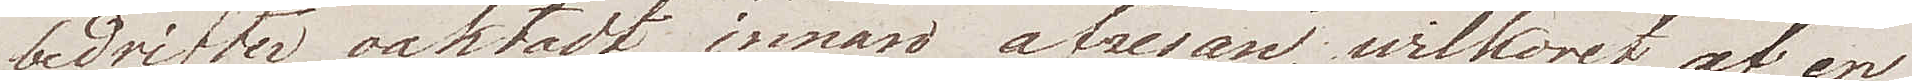bedrifter, oaktadt innan afresan wilkoret af en
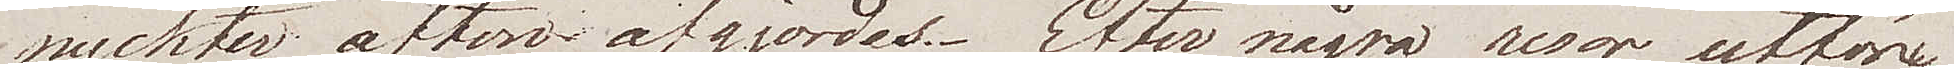nyckter afton afgjordes. Efter några resor utföre
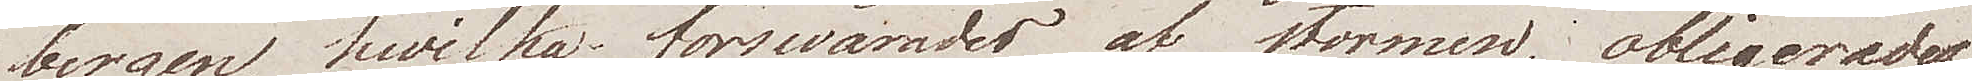bergen, hvilka förswårades af stormen, obligerades
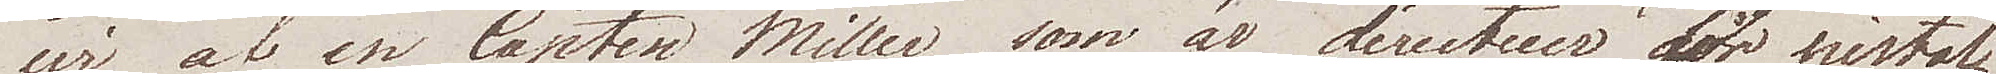wi af en Capten Miller som är directeur för pistol¬
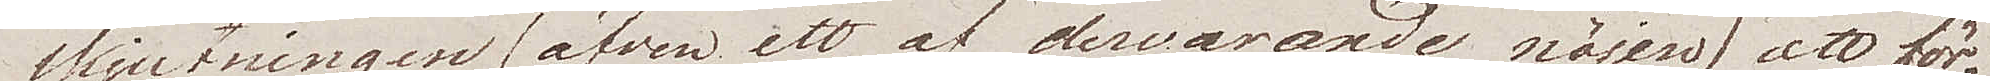skjutningen (äfven ett af dervarande nöjen) att för¬
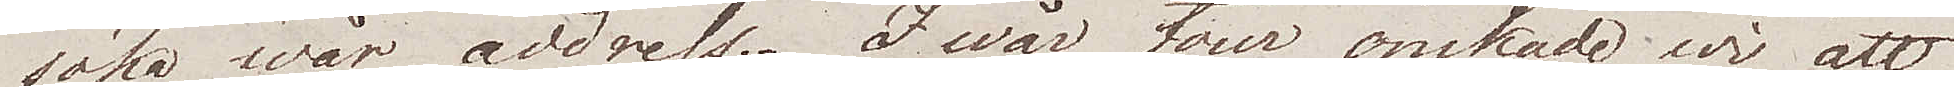söka wår address. I wår tur önskade wi att
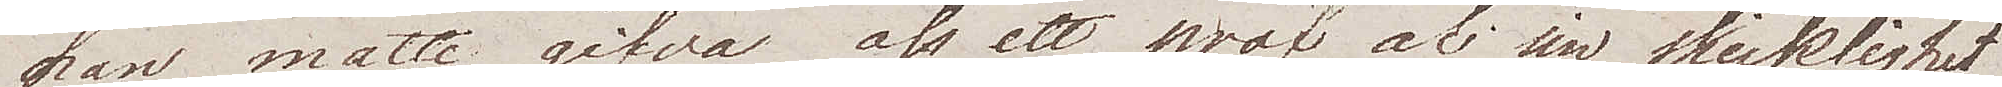han måtte gifva oss ett prof uti sin skicklighet
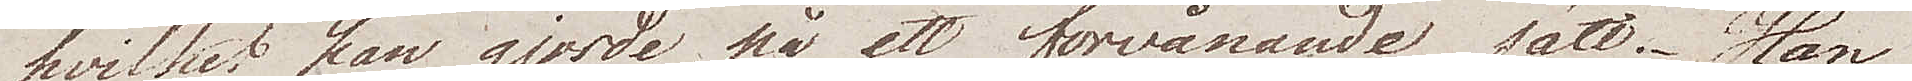hvilket han gjorde på ett förvånande sätt. Han
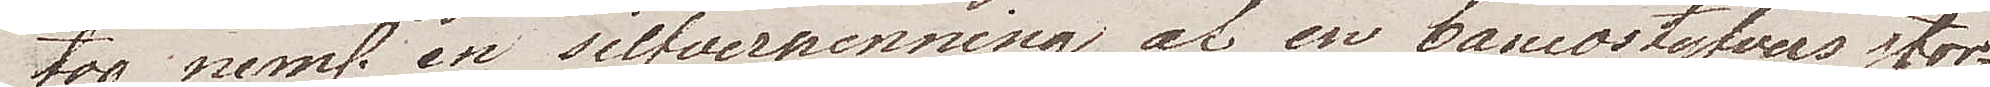tog neml. en silfverpenning af en bancostyfvers stor¬
